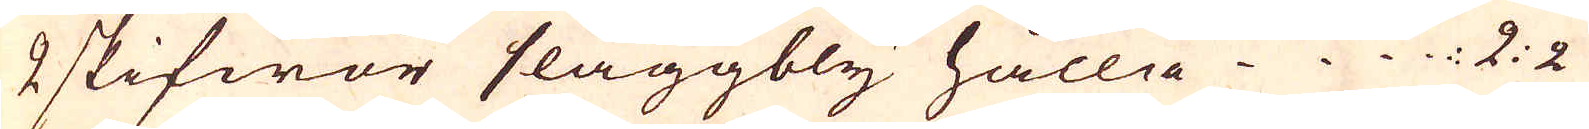2 skifwor slaggbly hålla 2: 2
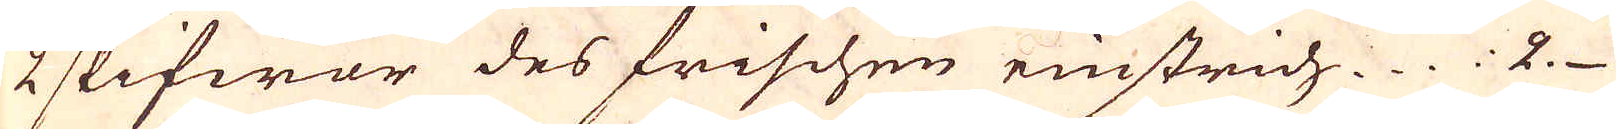2 skifwor des frischen einstrich 2
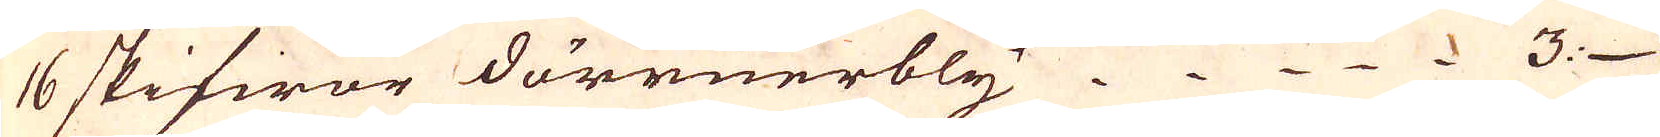16 skifwor dörrnerbly 3
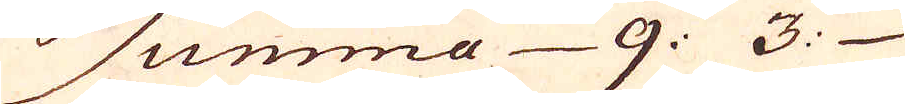Sunma 9: 3:
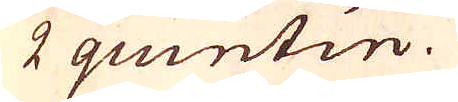2 quintin.
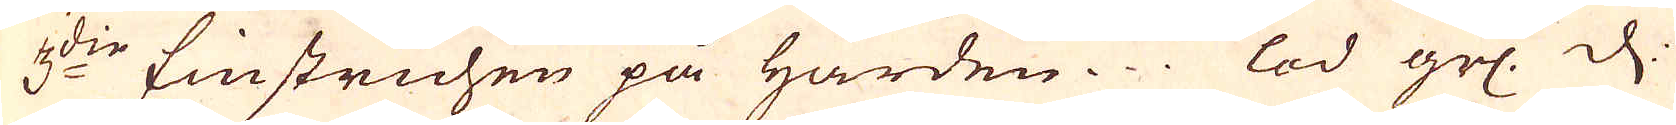3:die Einstrichen på härden. lod grl. d.
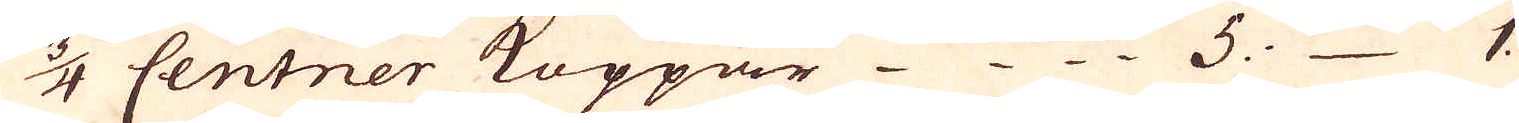3/4 Centner Koppar 5: 1.
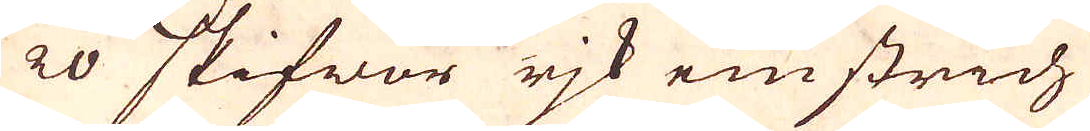20 skifwor rik einstrich
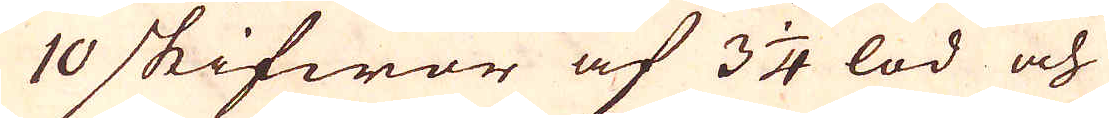10 skifwor af 3 1/4 lod och
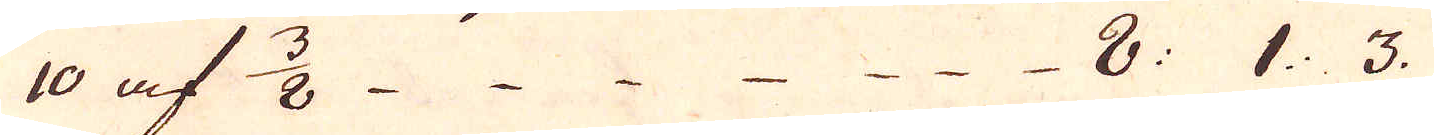10 af 3/8 - - - - - - - 8: 1: 3.
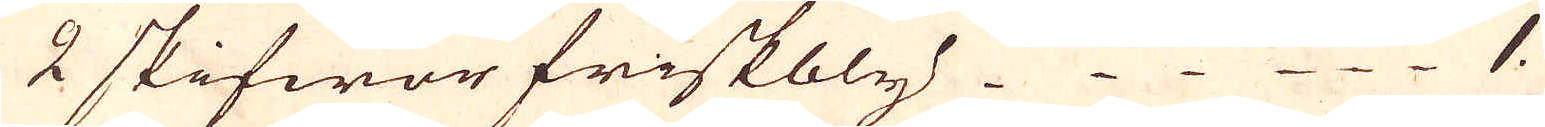2 skifwor friskbly 1.
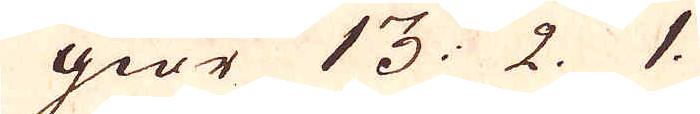giör 13: 2. 1.
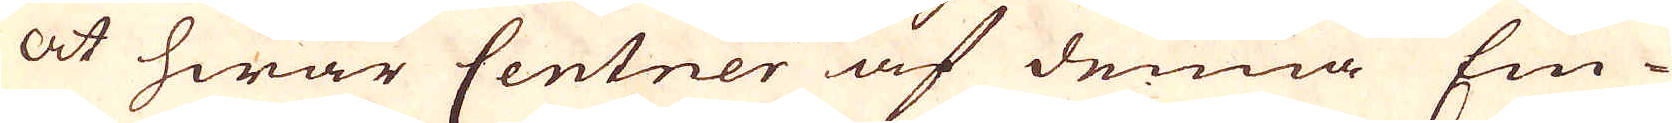at hwar Centner af denna Ein-
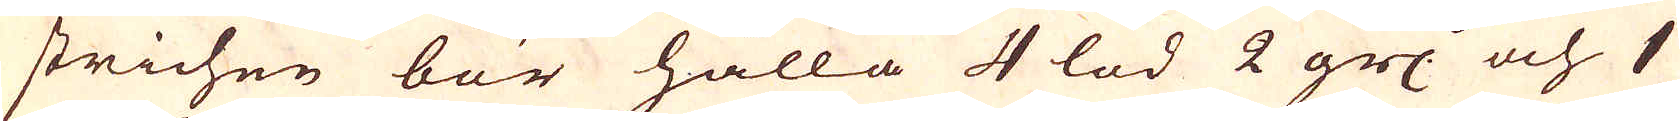strichen bör hålla 4 lod 2 grs: och 1
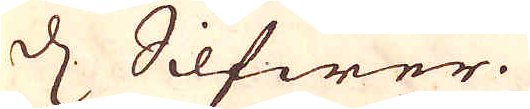d. Silfwer.
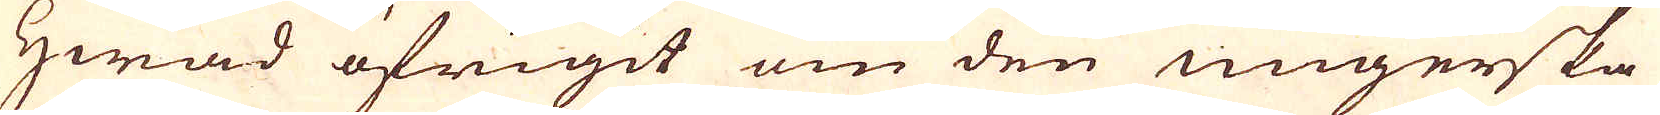Hwad öfrigit om den ungerska
